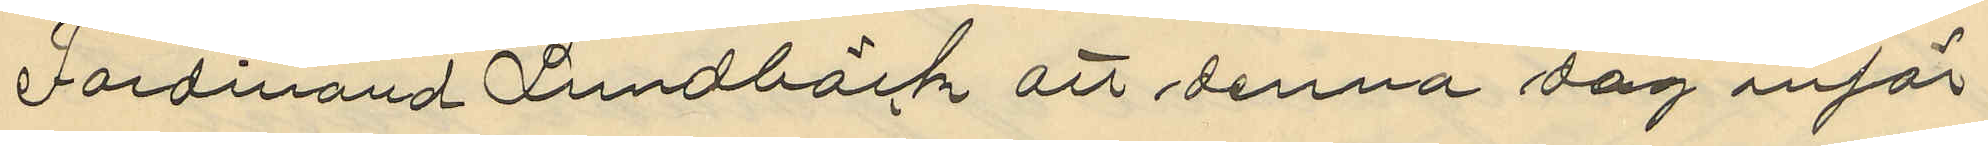Ferdinand Lundbäck att denna dag inför
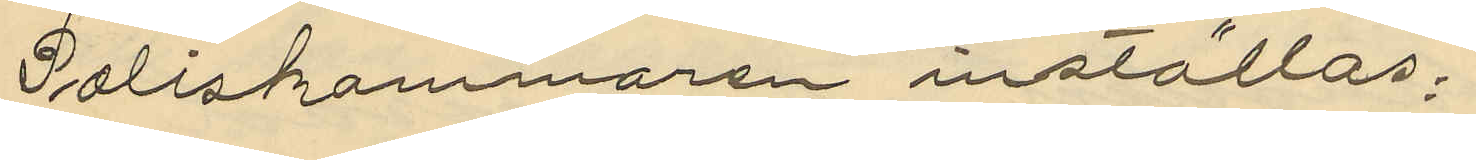Poliskammaren inställas.
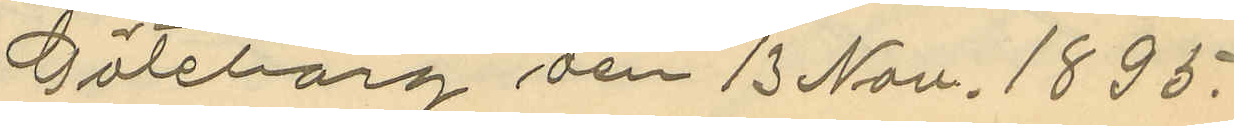Göteborg den 13 Nov. 1895.
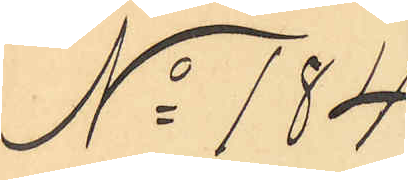No 184
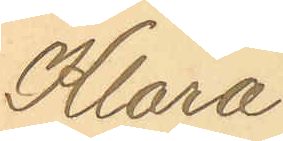Klara
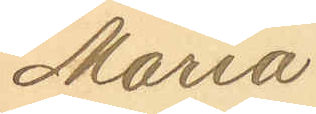Maria
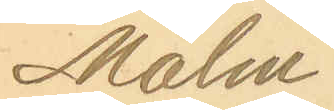Malm¬
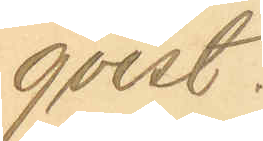qvist.
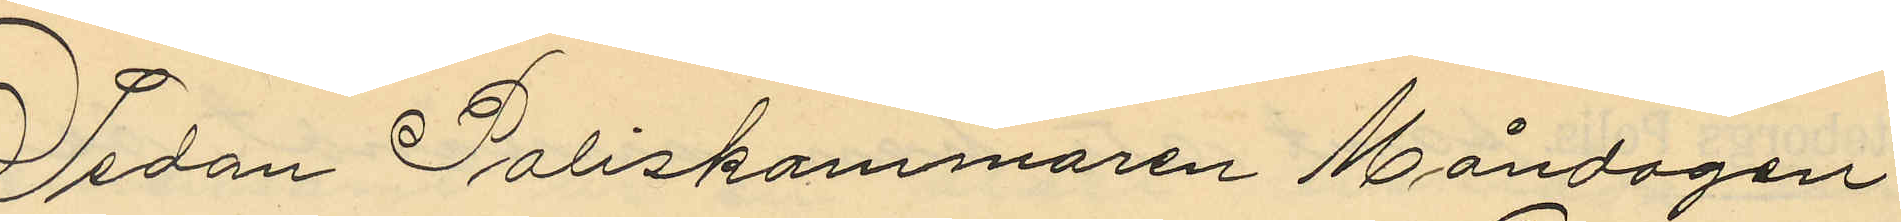Sedan Poliskammaren Måndagen
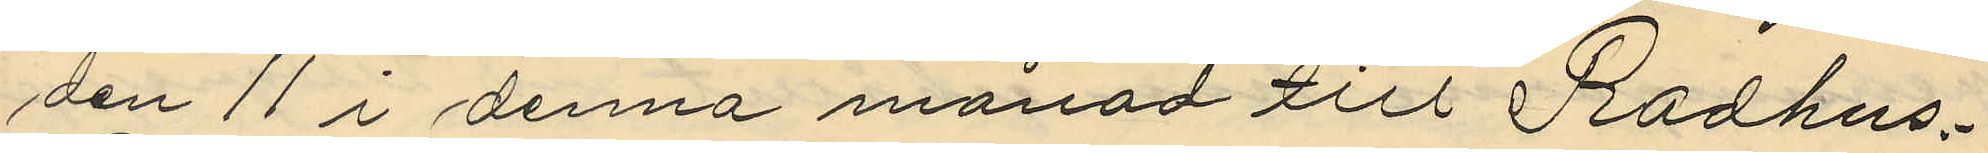den 11 i denna månad till Rådhus¬
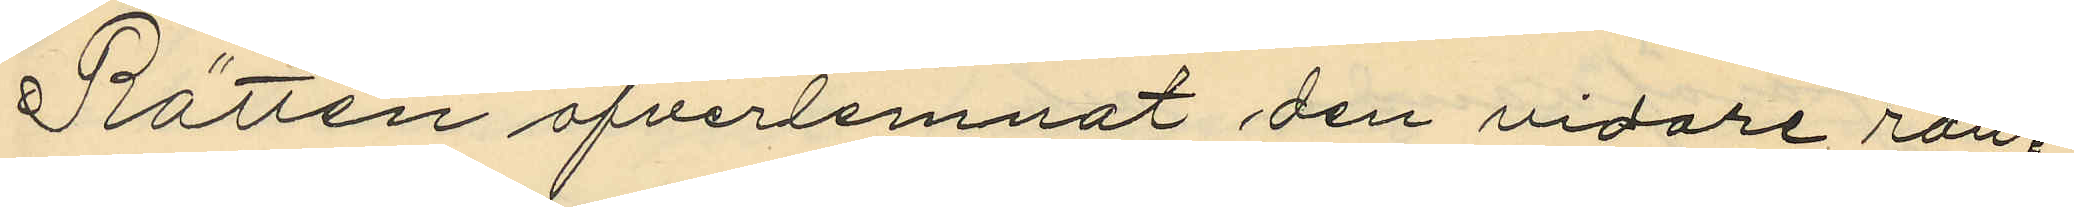Rätten öfverlemnat den vidare ran¬
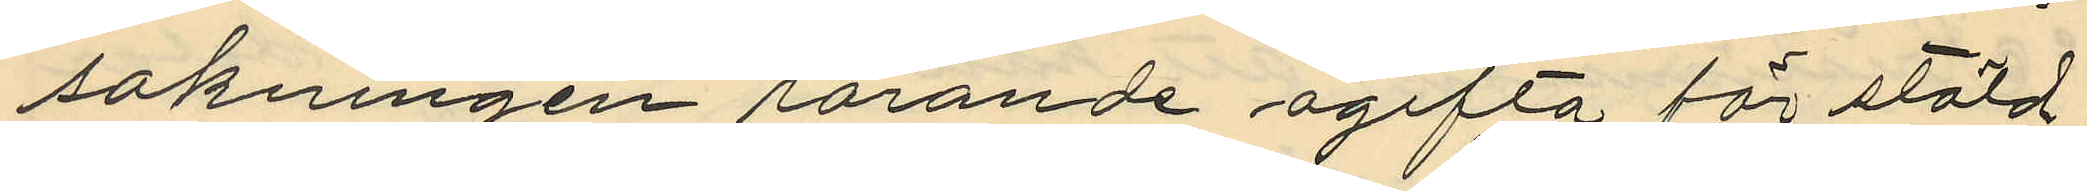sakningen rörande ogifta för stöld
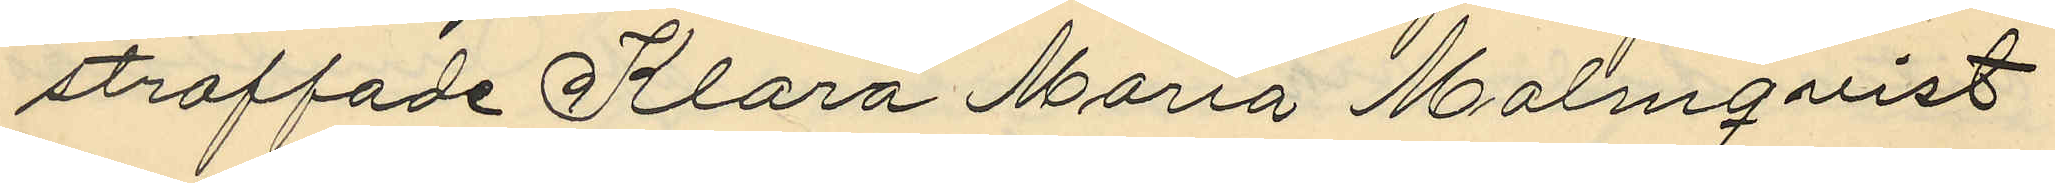straffade Klara Maria Malmqvist
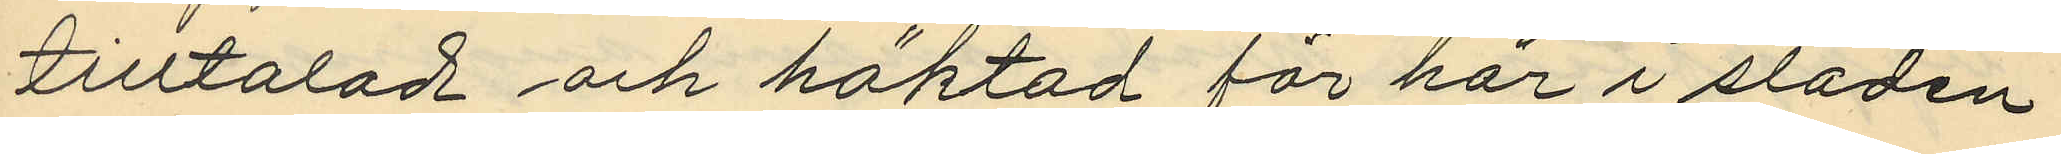tilltalad och häktad för här i staden
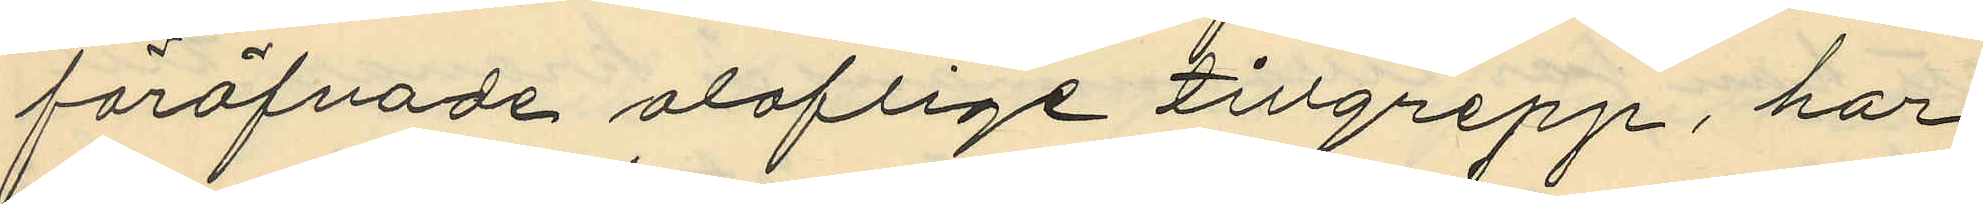föröfvade oloflige tillgrepp, har
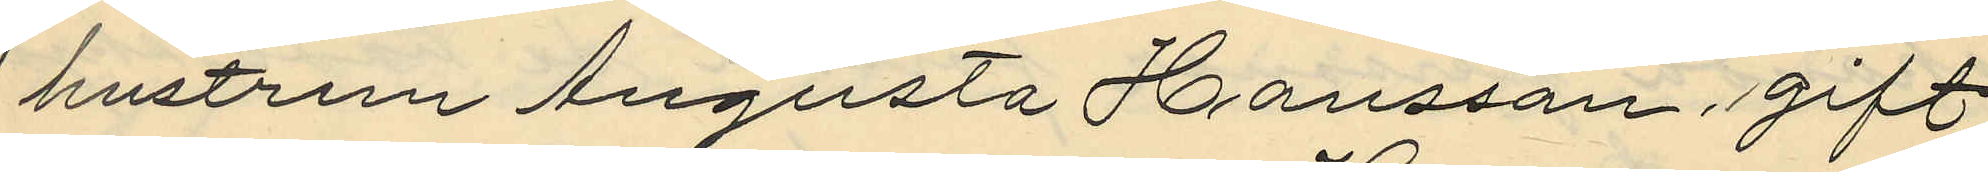hustrun Augusta Hansson, gift
